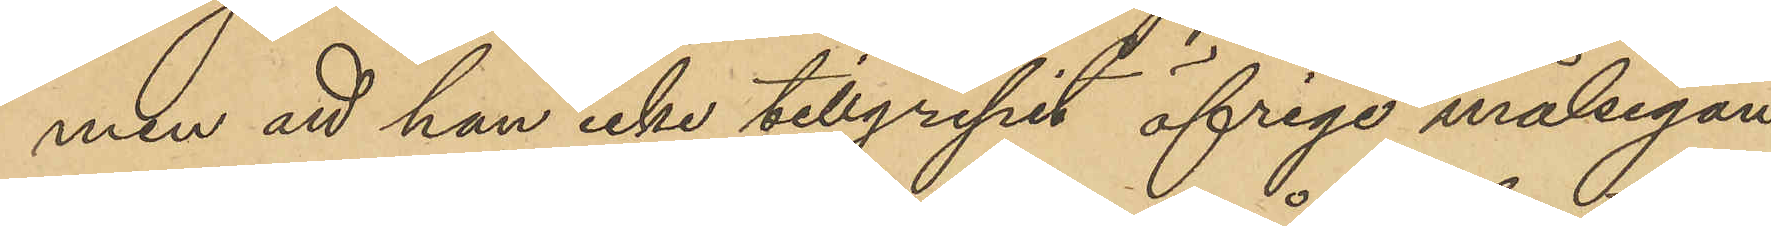men att han icke tillgripit öfrige målsegan¬
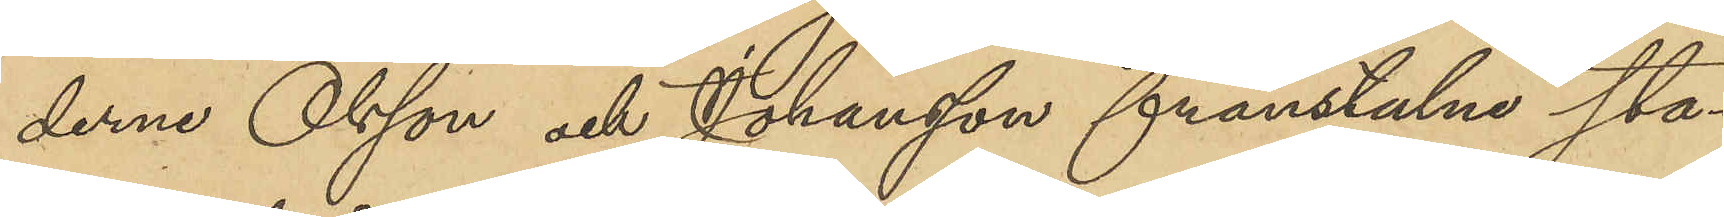derne Olsson och Johansson frånstulne sta¬
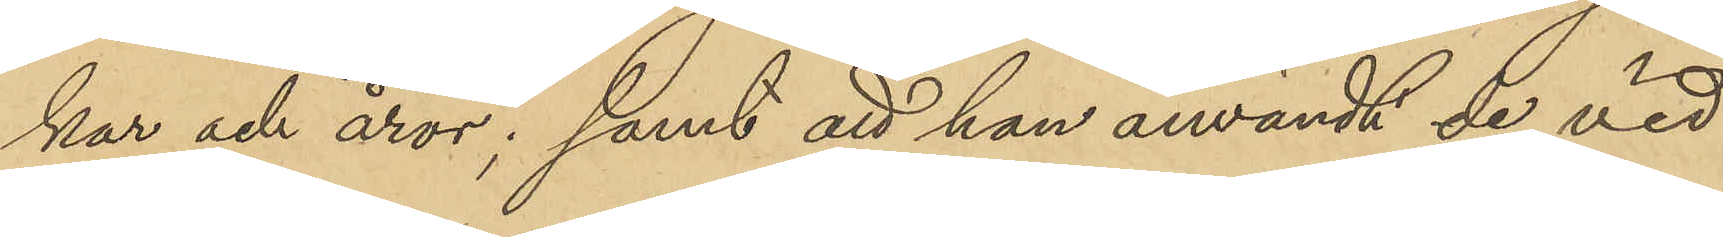kar och åror; samt att han användt de vid
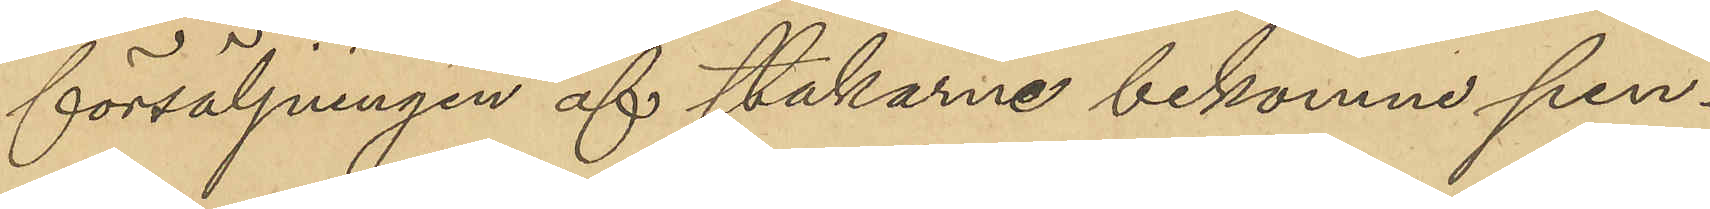försäljningen af stakarne bekomne pen¬
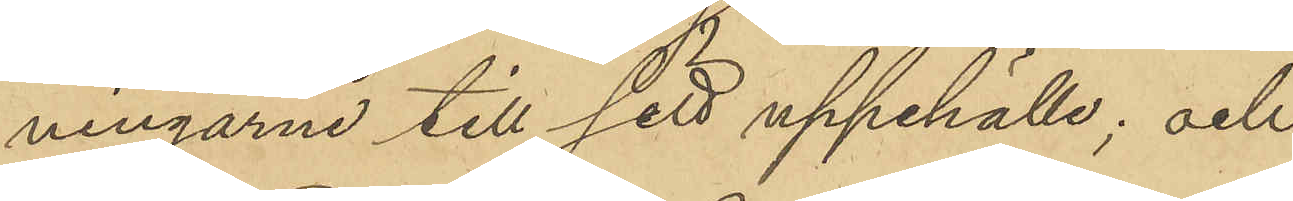ningarne till sitt uppehälle; och
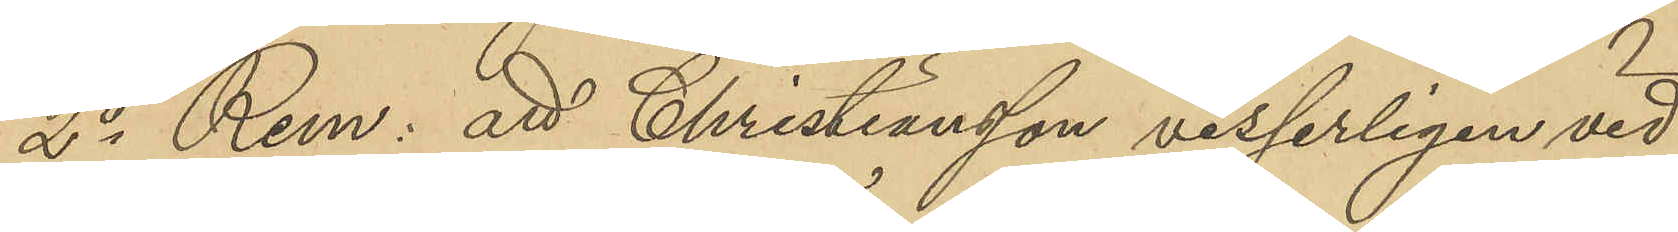2o Rem: att Christiansson visserligen vid
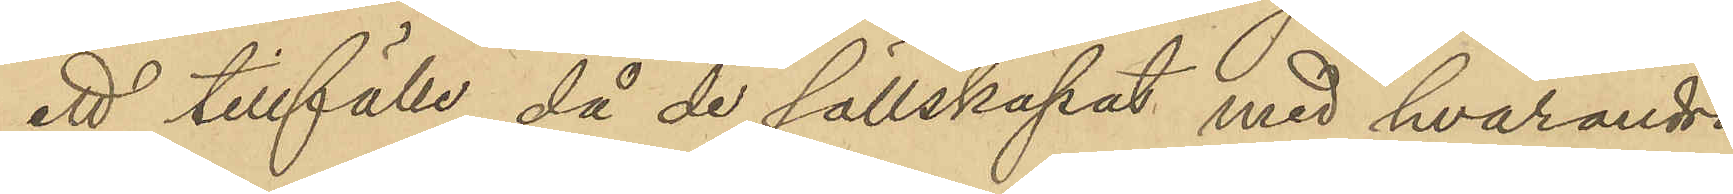ett tillfälle, då de sällskapat med hvarandra
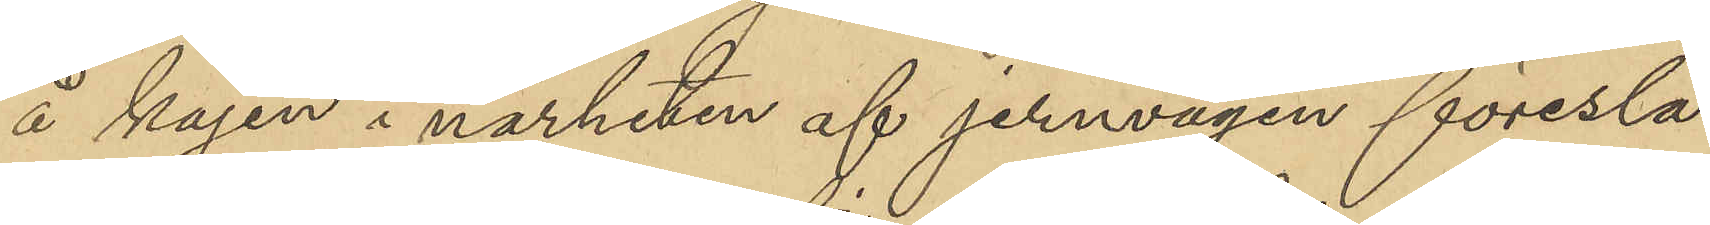å kajen i närheten af jernvågen föresla¬
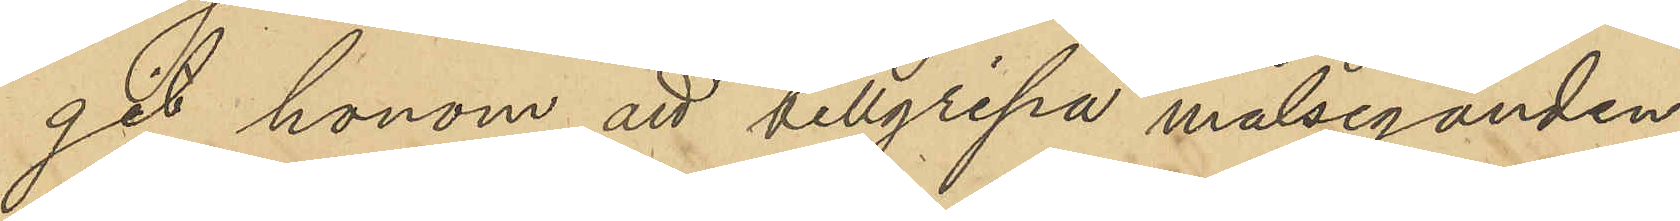git honom att tillgripa målseganden
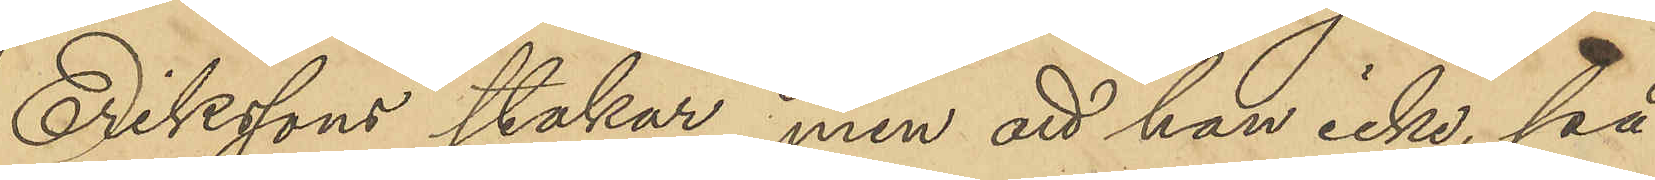Erikssons stakar, men att han icke, på
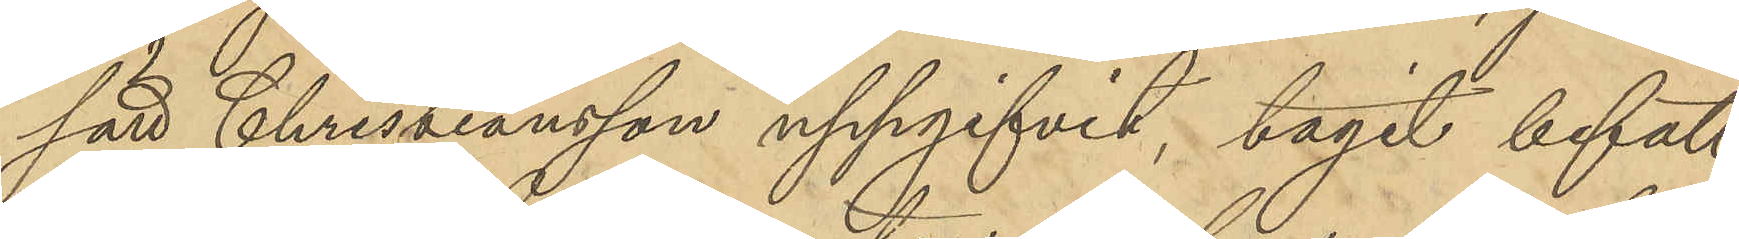sätt Christiansson uppgifvit, tagit befatt¬
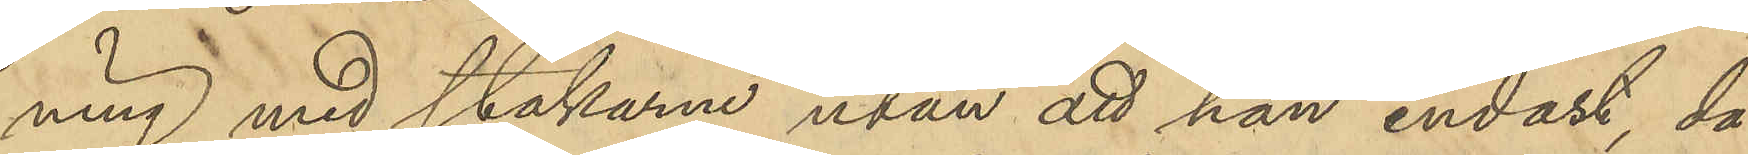ning med stakarna utan att han endast, då
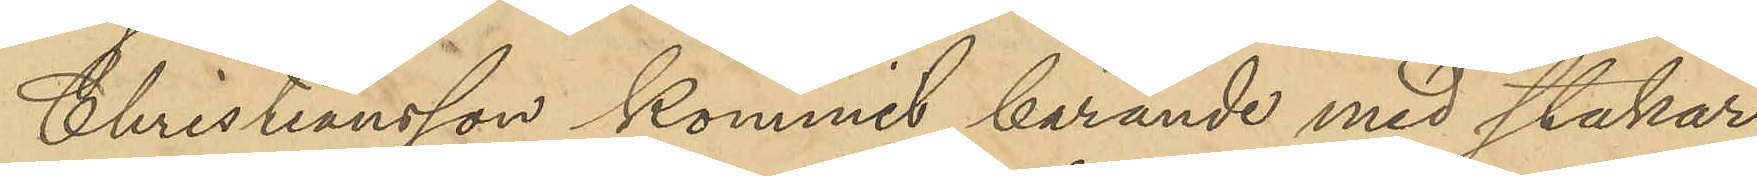Christiansson kommit bärande med stakar¬
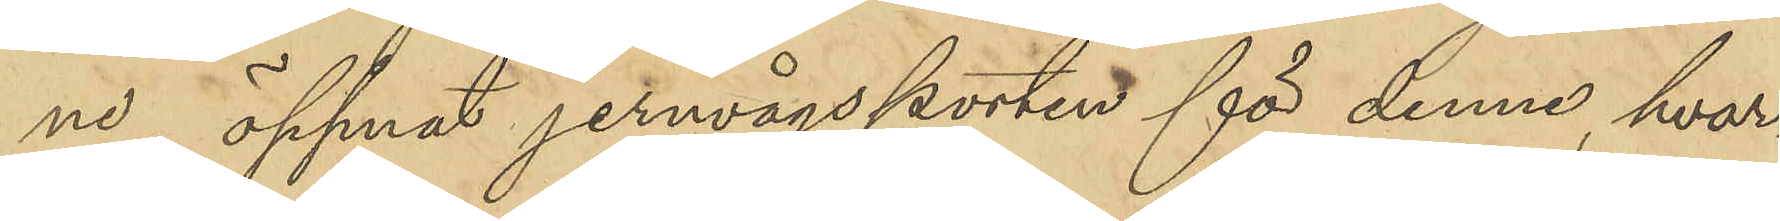ne öppnat jernvågsporten för denne, hvar¬
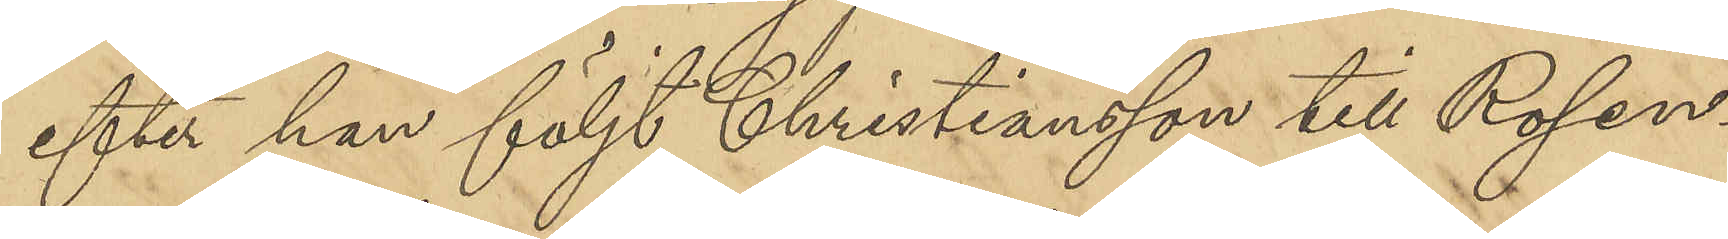efter han följt Christiansson till Rosen¬
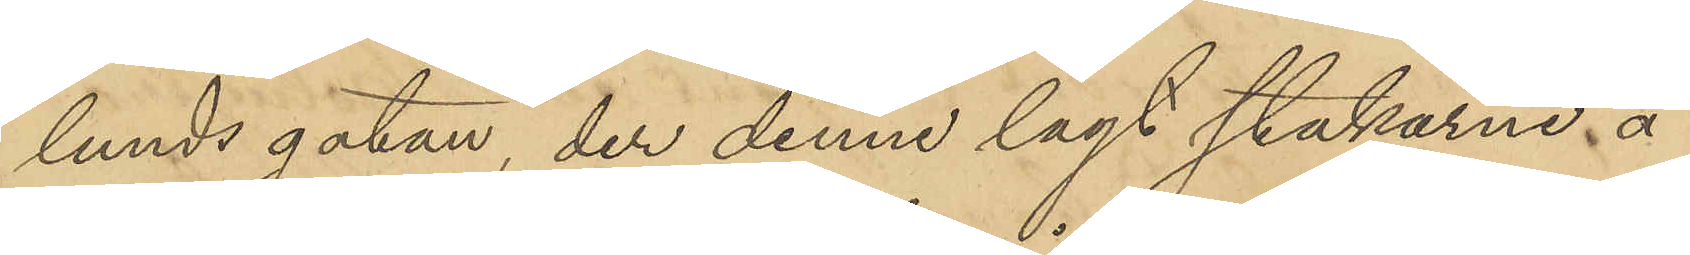lundsgatan, der denne lagt stakarne å
